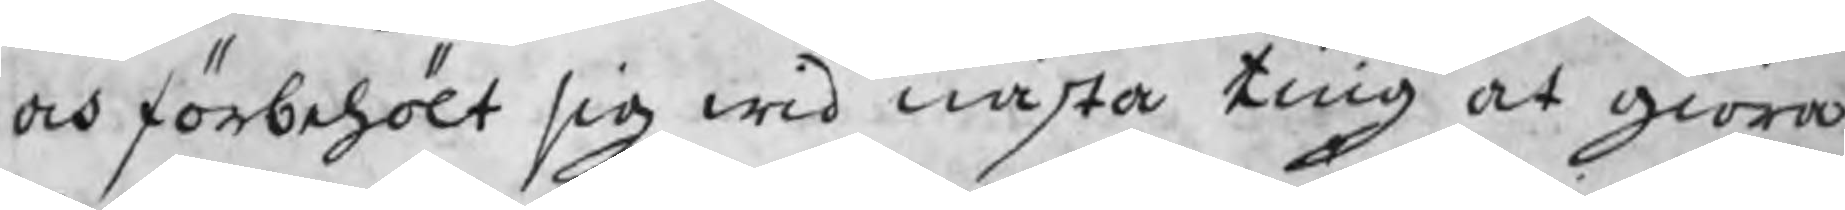och förbehölt sig wid nästa ting at giöra
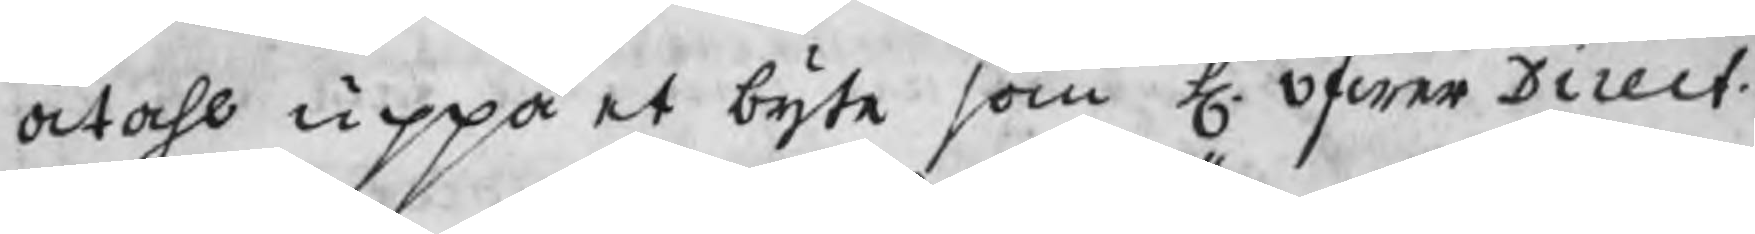åtahl uppå et byte som H. öfwer Direct. 
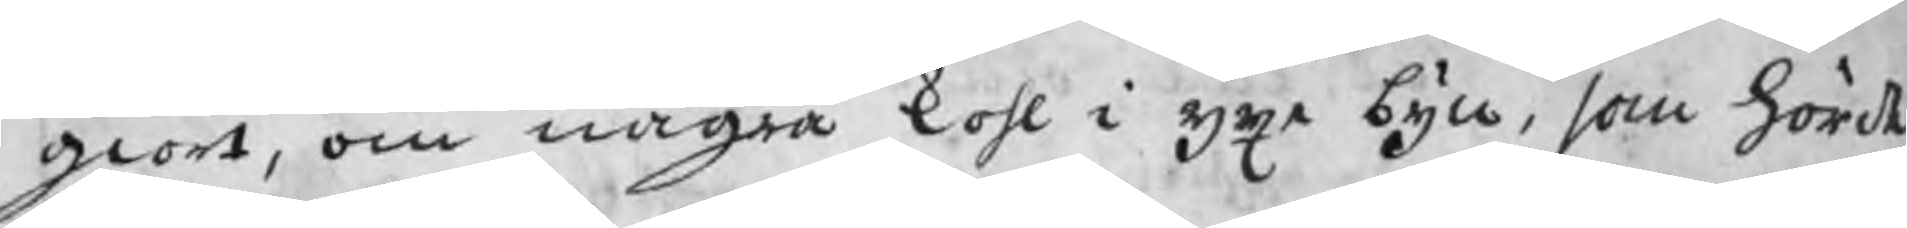giort, om några kohl i Yxe byn, som hördt
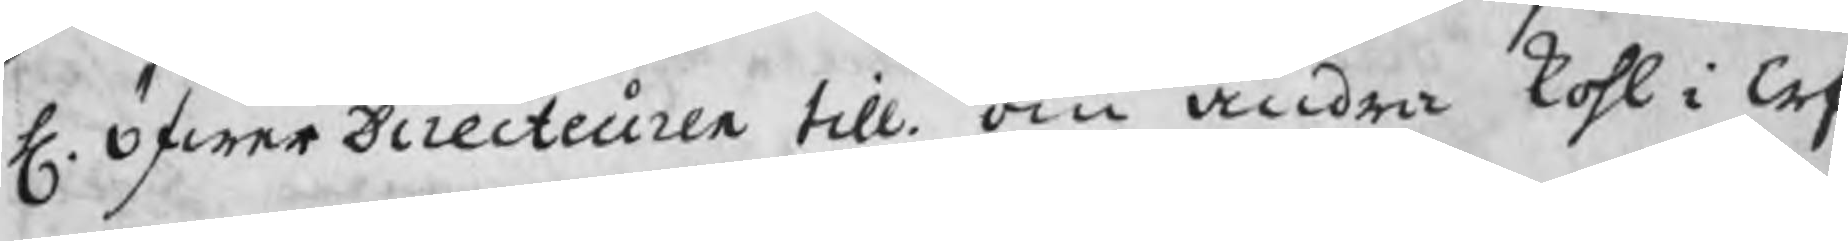H. öfwerDirecteuren till om andra kohl i Erf¬
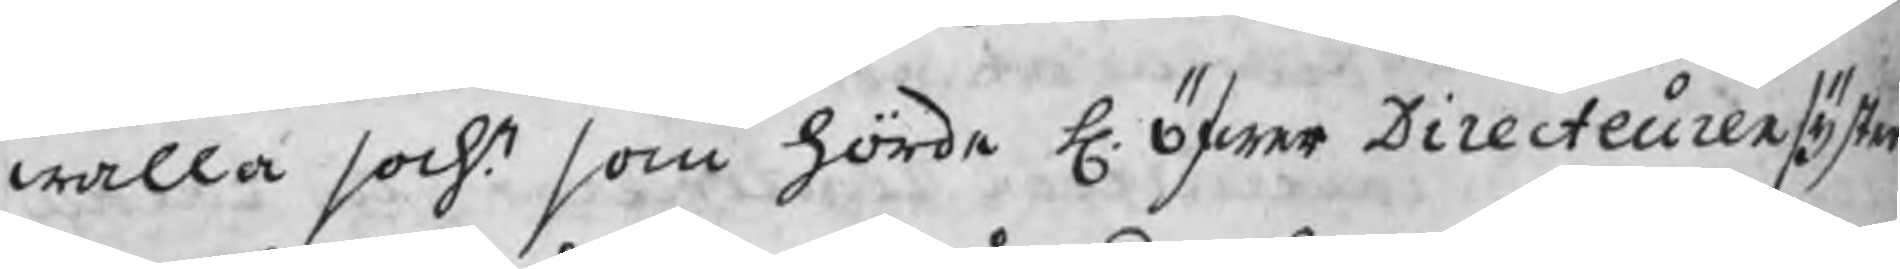walla sochn som hörde H. öfwer Directeuren syster
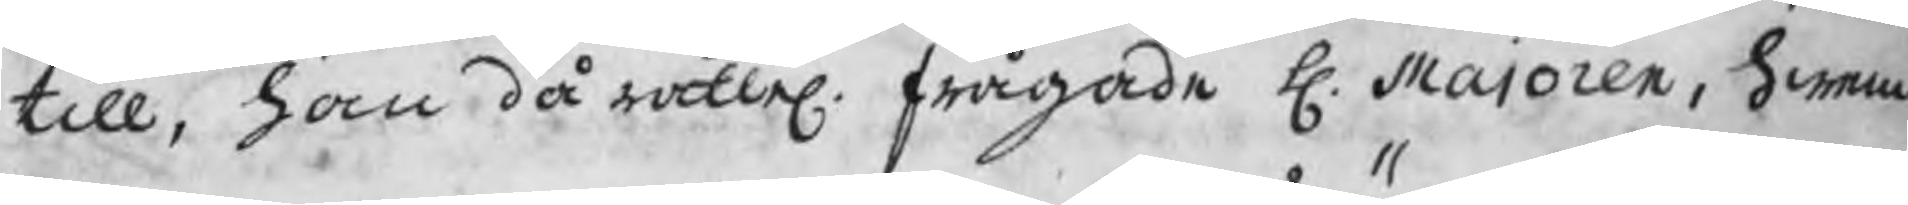till, han då rättel. frågade H. Majoren, hwem
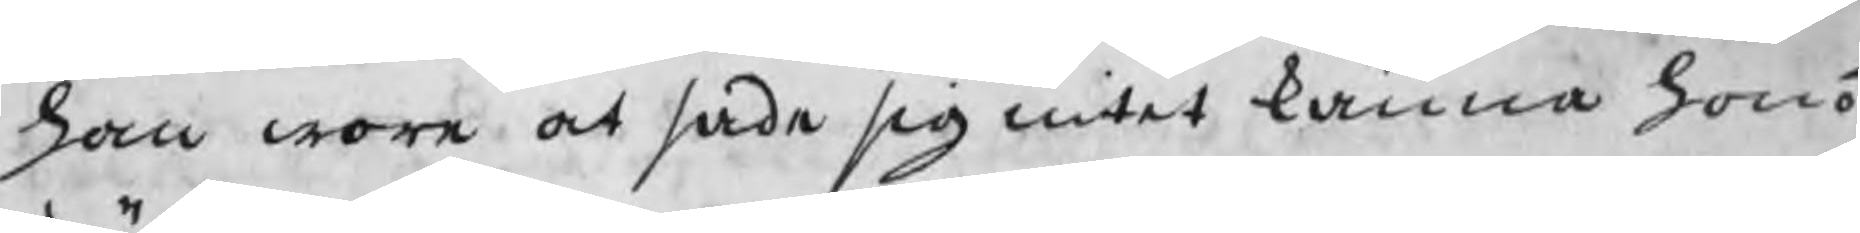han wore at sade sig intet känna hono¬
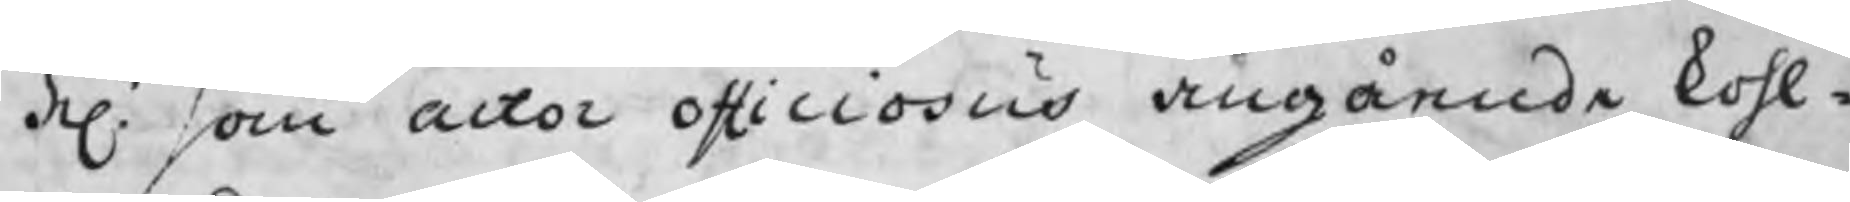deln. som actor officiosus angående kohl¬
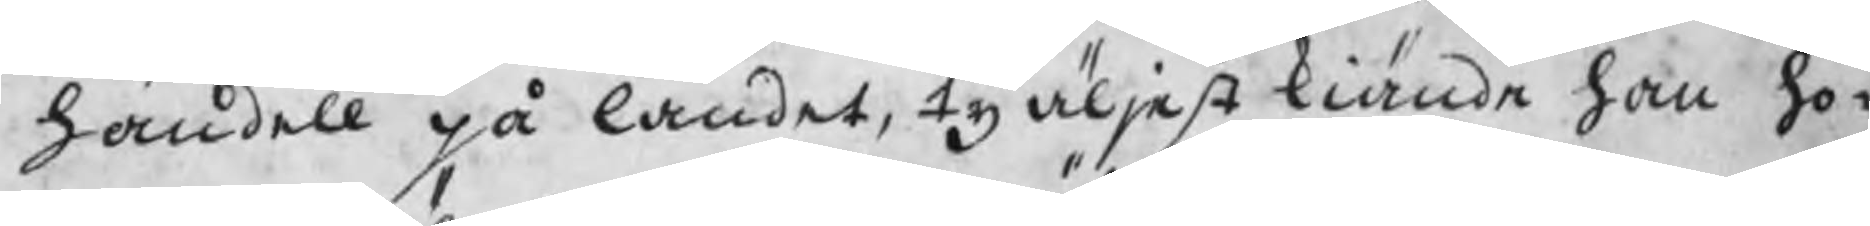handell på landet, ty äljest kiände han ho¬
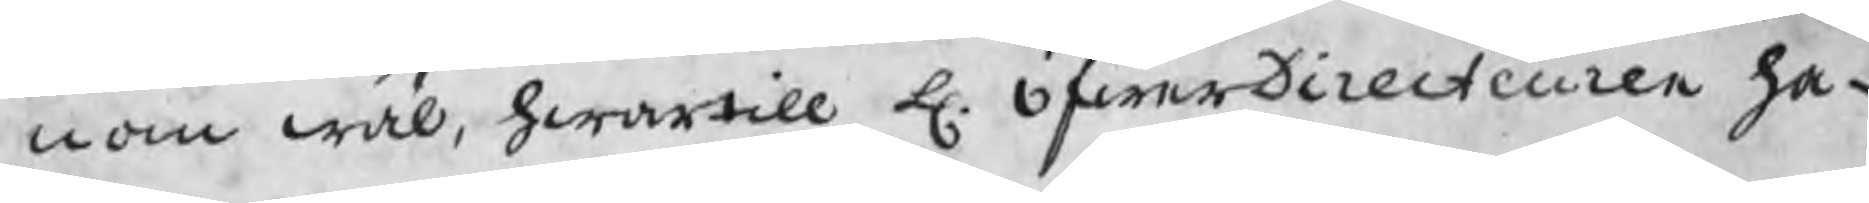nom wäl hwartill H. öfwerDirecteuren ha¬
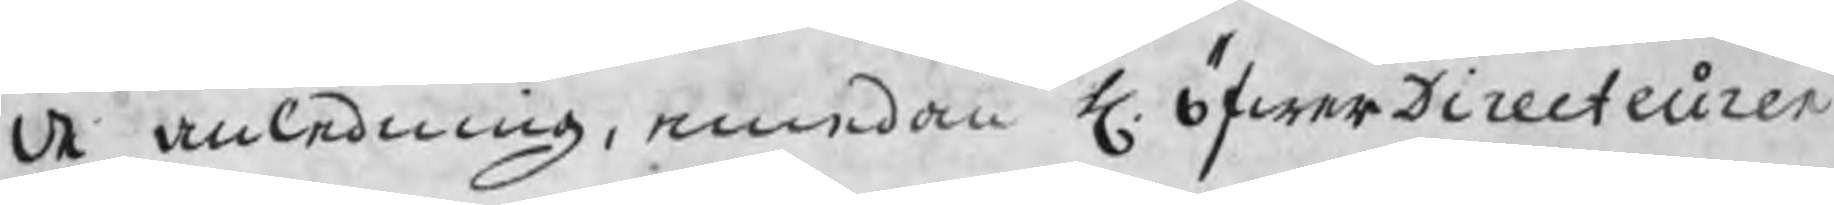de anledning, emedan H. öfwerDirecteuren
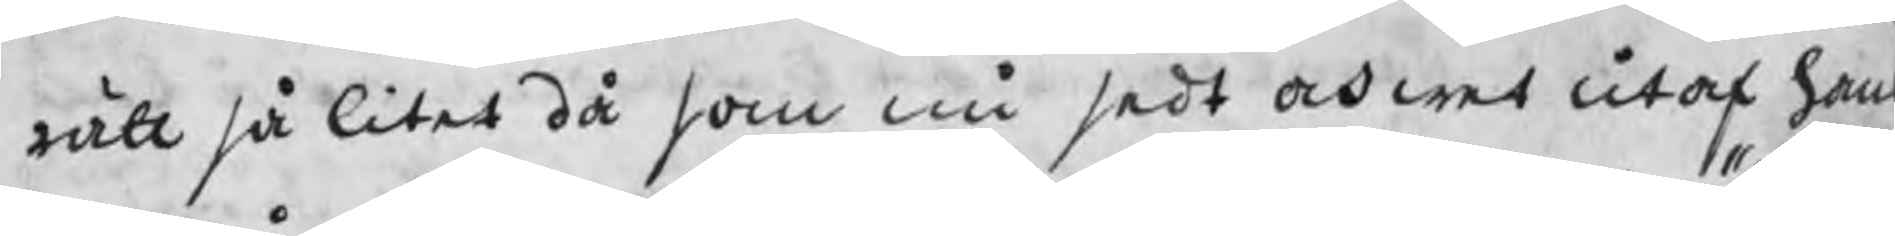rätt så litet då som nu sedt och wet utaf hans
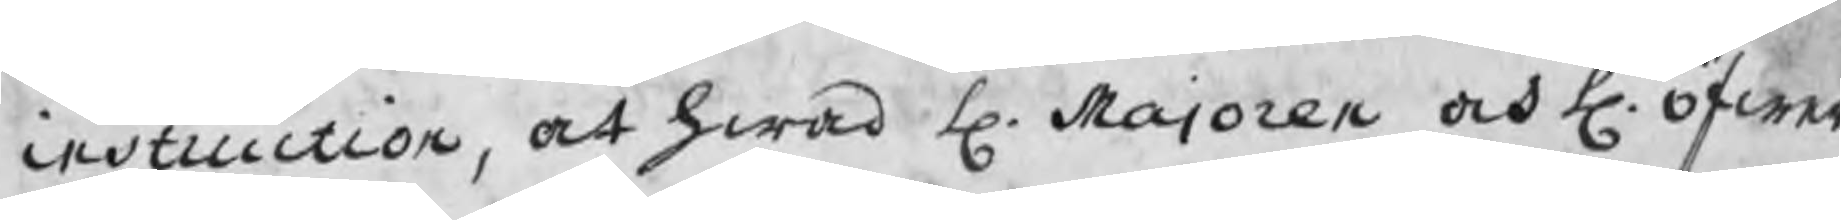instruction, at hwad H. Majoren och H. öfwer
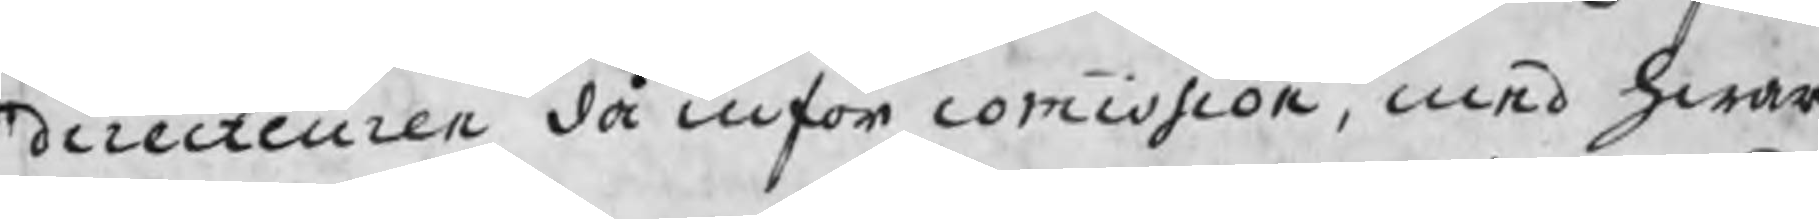directeuren då inför commission, med hwar
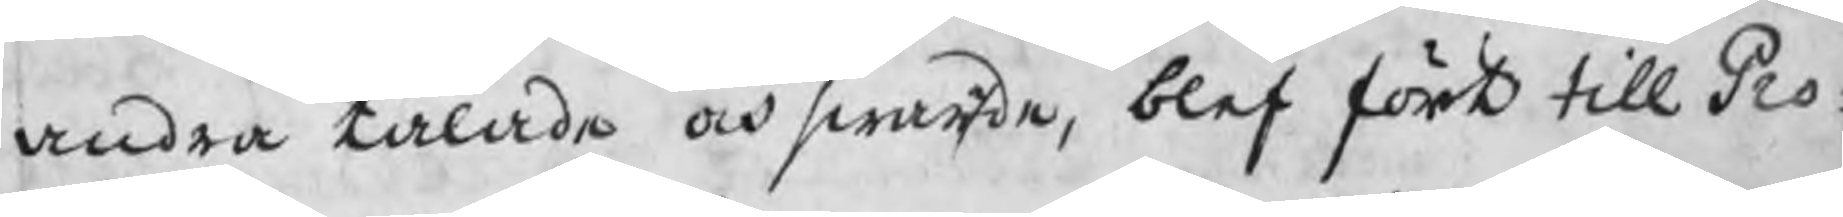andra talade och swarade, blef fört till Pro¬
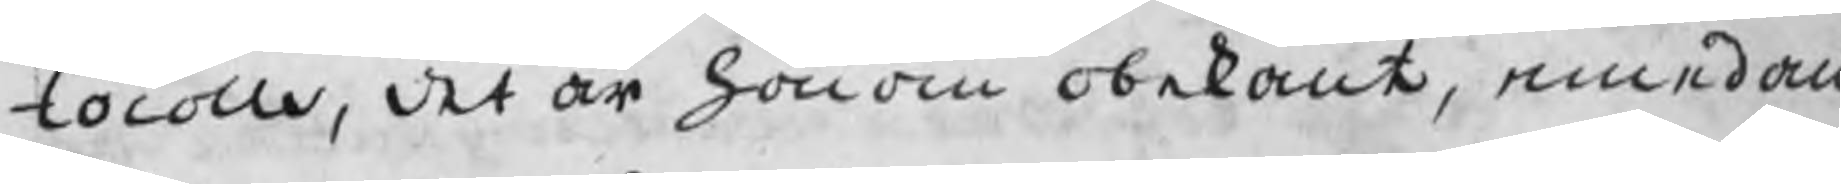tocolle, det är honom obekant, emedan
